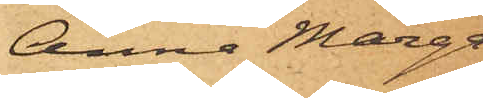Anna Marga¬
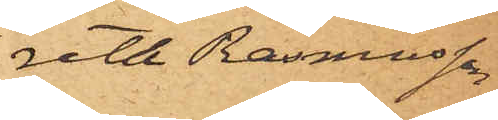reth Rasmusson
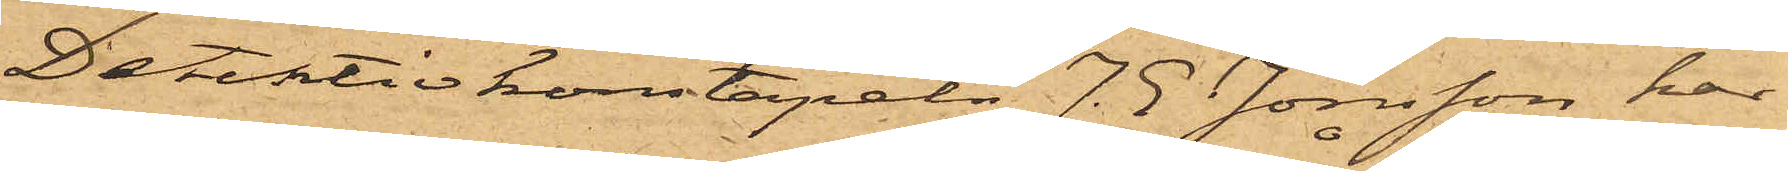Detektivkonstapeln J. J. Jönsson har
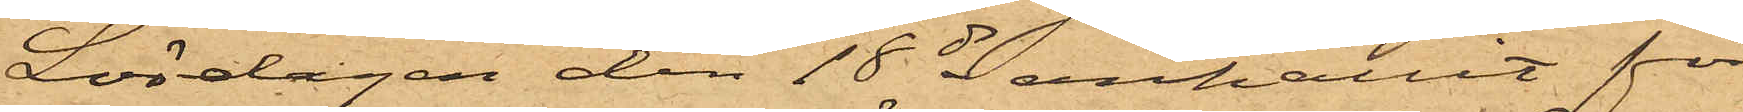Lördagen den 18 ds anhållit för
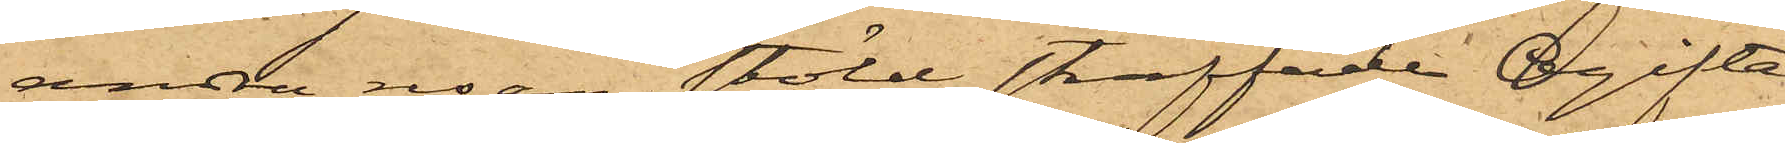andra resan stöld straffade Ogifta
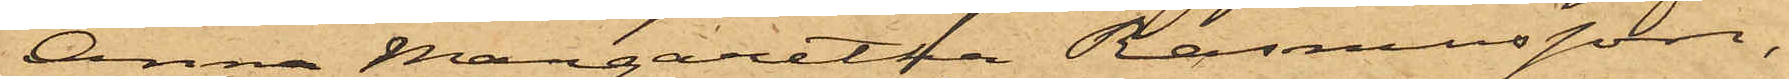Anna Margaretha Rasmusson,
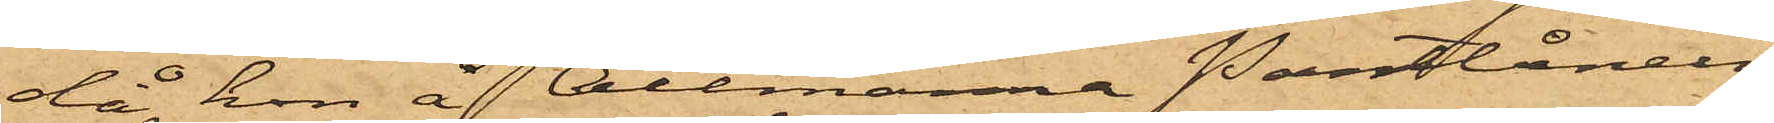då hon å Allmänna Pantlånein¬
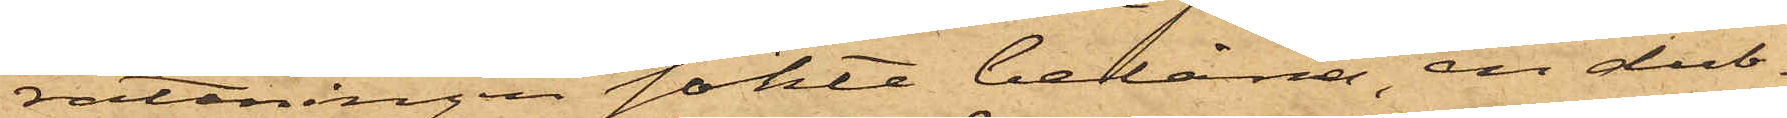rättningen sökte belåna, en dub¬
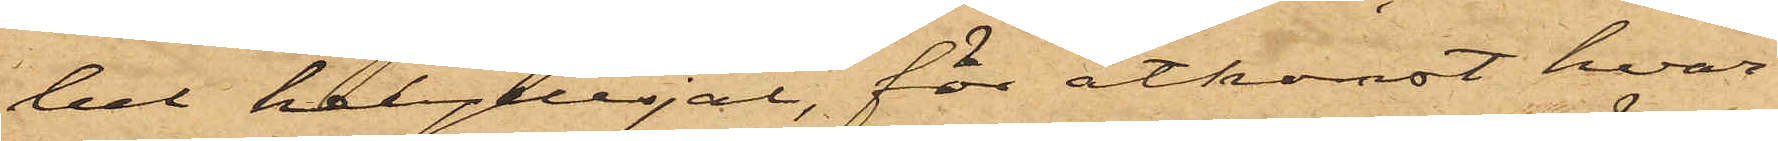bel helyllesjal, för åtkomst hvar¬
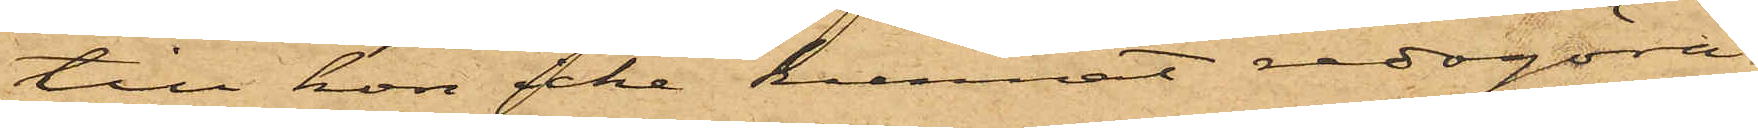till hon icke kunnat redogöra,
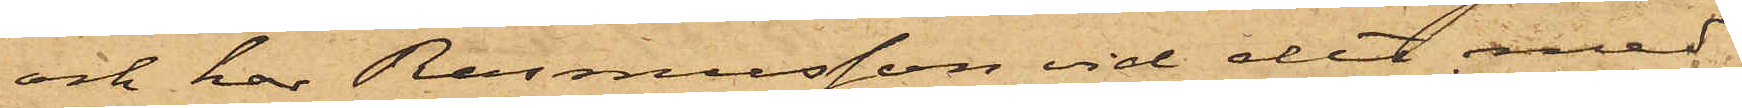och har Rasmusson vid det med
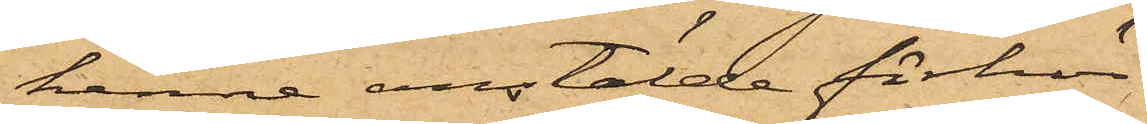henne anstälde förhör
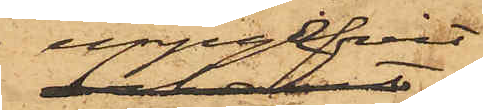uppgifvit
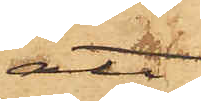att
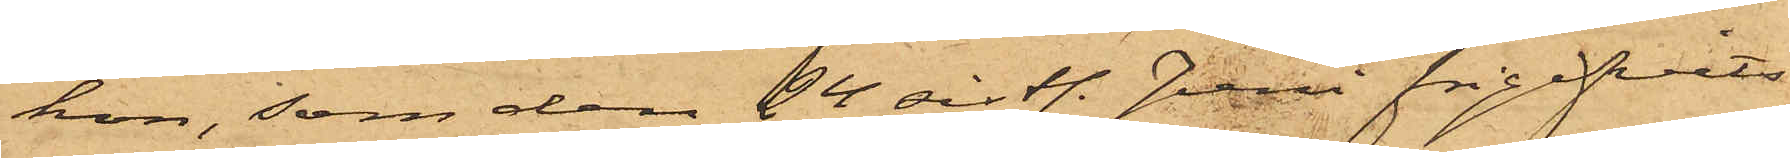hon, som den 24 sist. Juni frigifvits
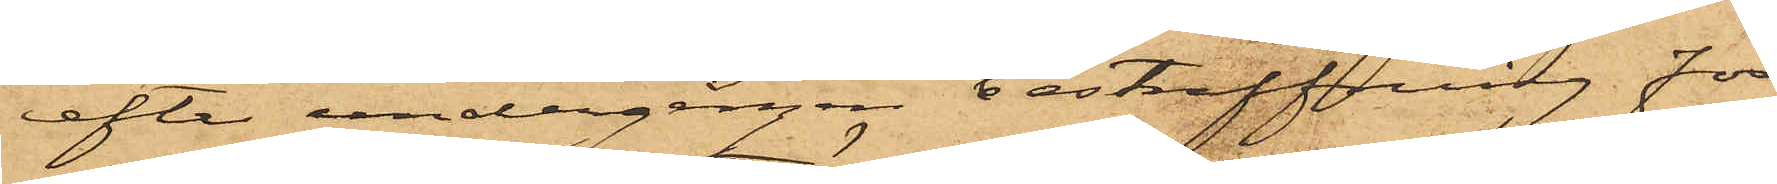efter undergången bestraffning för
